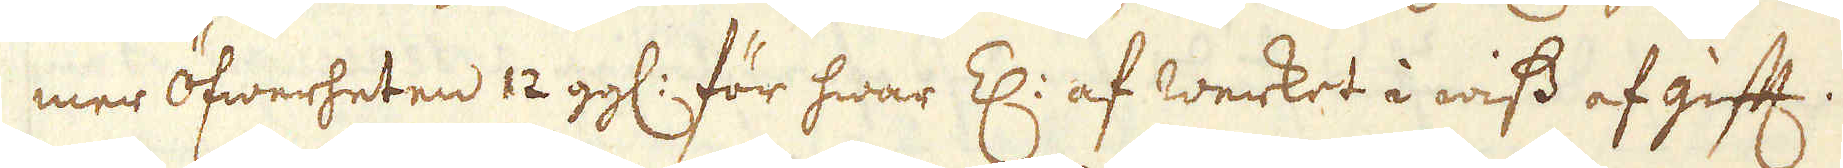mer öfwerheten 12 gg: för hwar Z: af werket i wiss af gift.
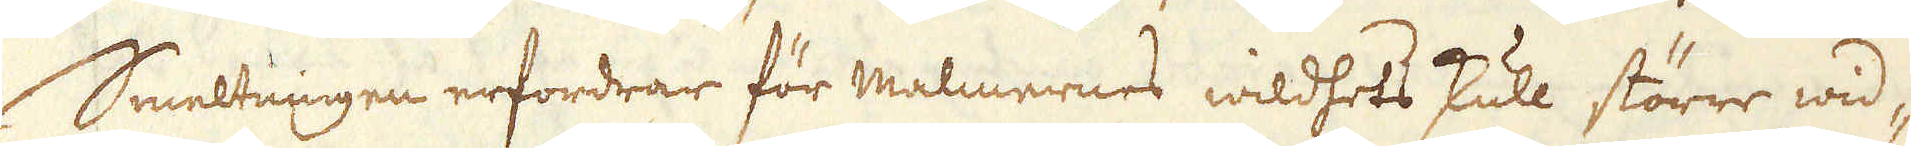Smeltningen erfordrar för malmernes wildhets skull större wid-
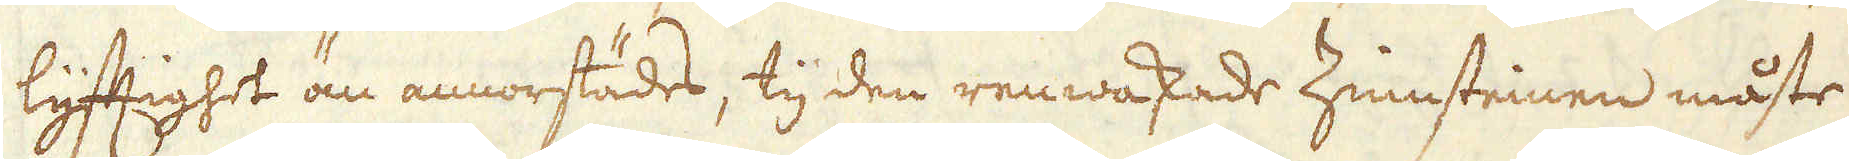lyftighet än annorstädes, ty den renwaskade Zinsteinen måste
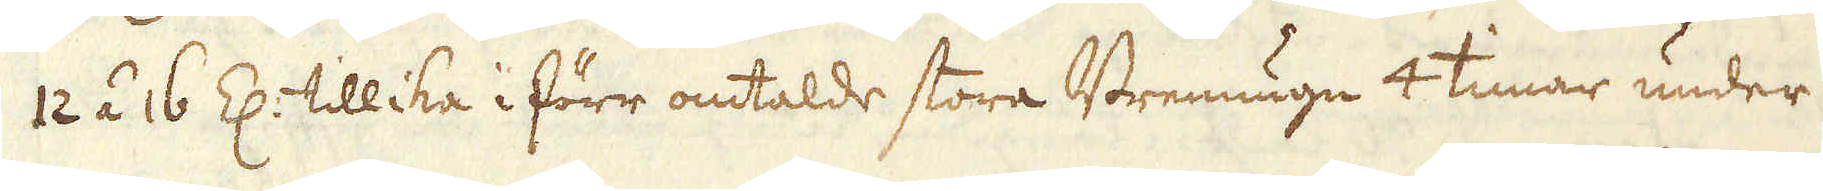12 á 16 Z: tillika i förr omtalde stora Brennugn 4 timar under
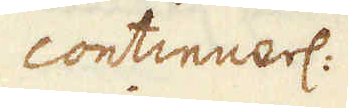continuerl:
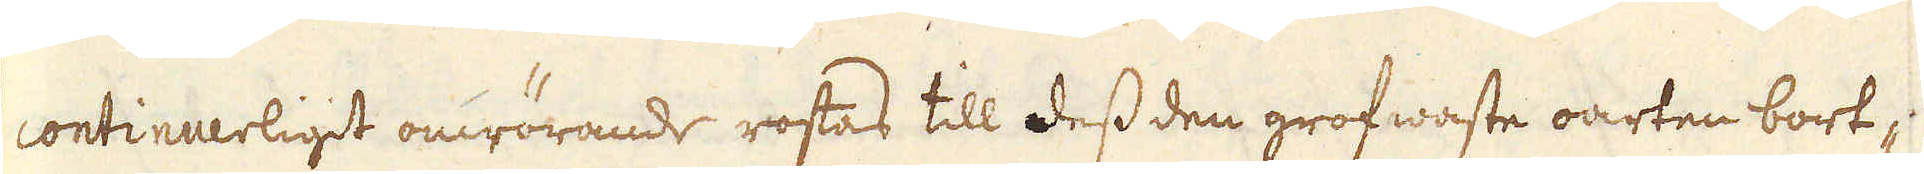continuerligit omrörande, rostas till dess den grofwaste oarten bort-
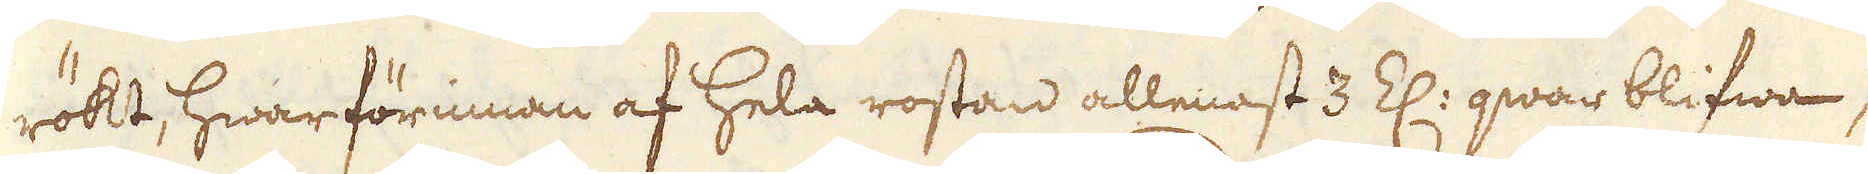rökt, hwarförinnan af hela rostan allenast 3 Z: qwar blifwa,
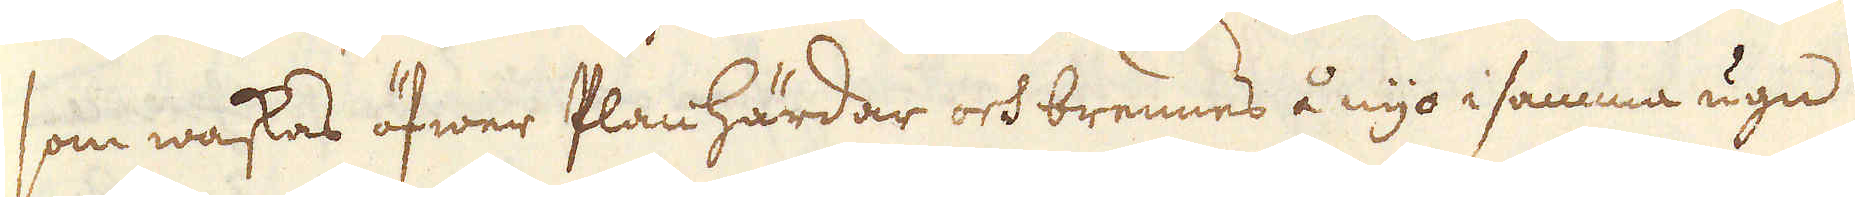som waskas öfwer Plan härdar och brennes å nyo i samma ugn
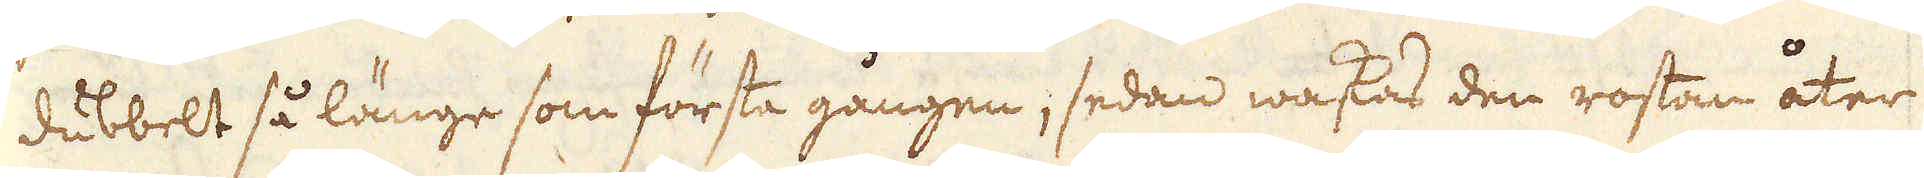dubbelt så länge som första gången, sedan waskas den rostan åter
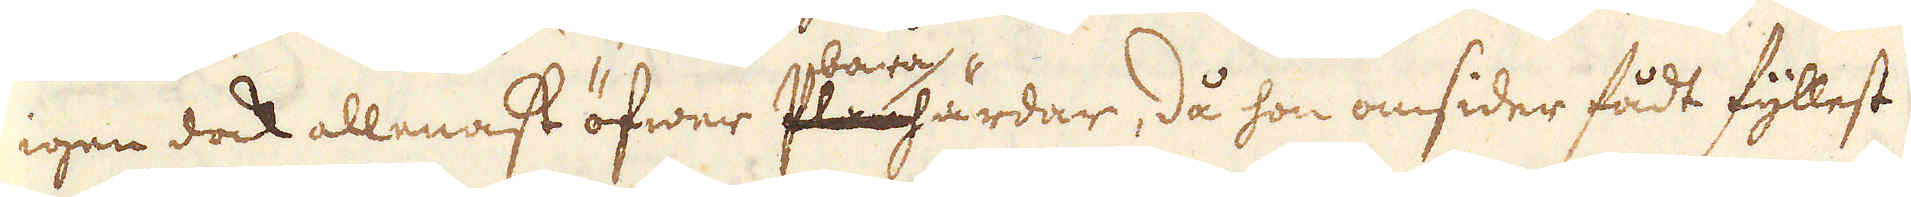igen dock allenast öfwer bara härdar, då hon omsider fådt fyllest
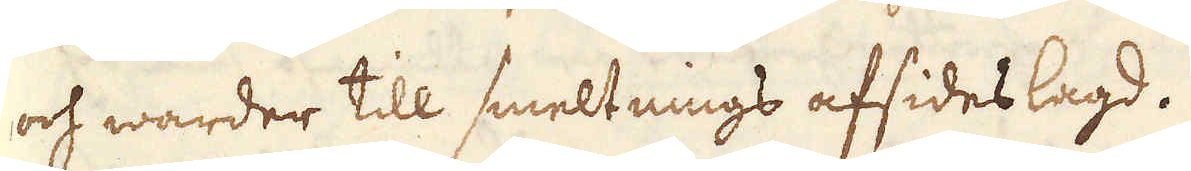och warder till smeltnings afsides lagd.
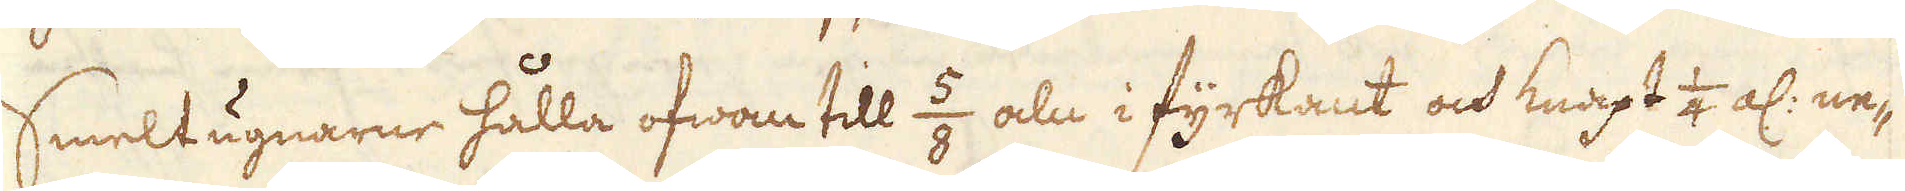Smeltugnarne hålla ofwan till 5/8 aln i fyrkant och knapt 1/4 al: ne-
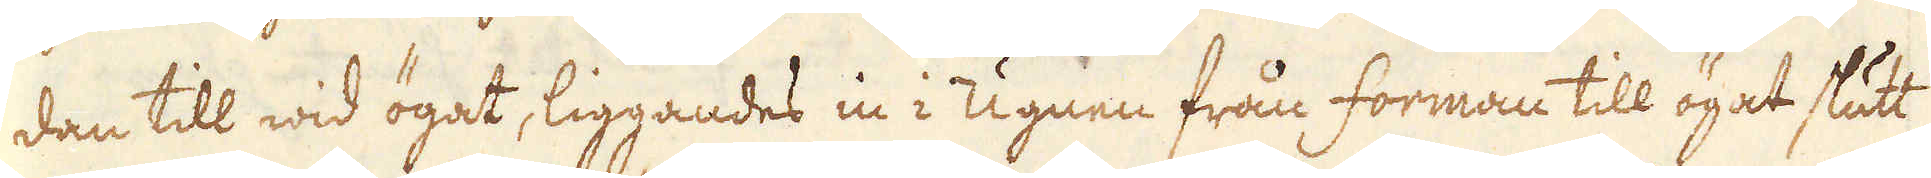dan till wid ögat, liggandes in i Ugnen från forman till ögat slutt
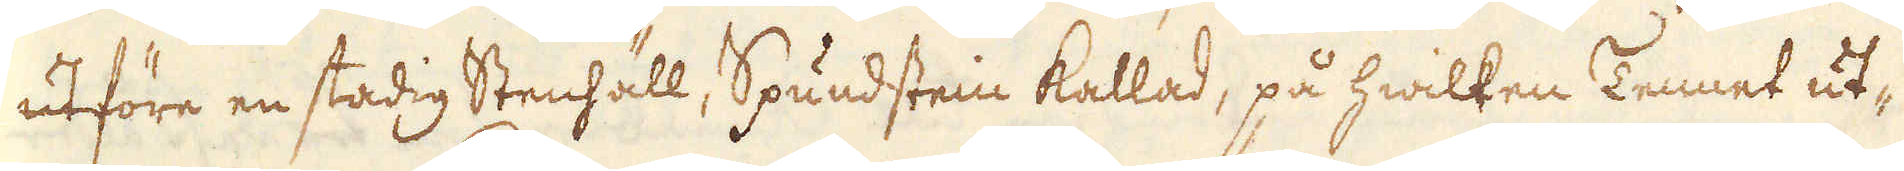utföre en stadig Stenhäll, Spundstein kallad, på hwilken Tennet ut-
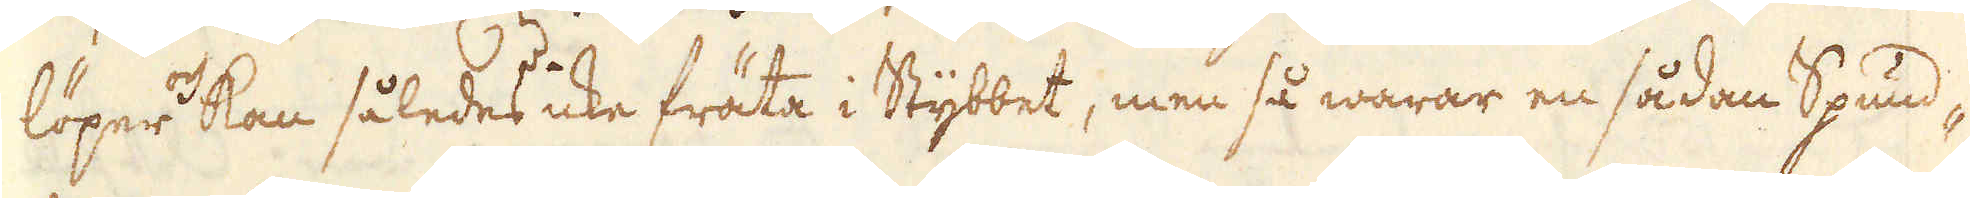löper kan således icke fräta i Stybbet, men så warar en sådan Spund-
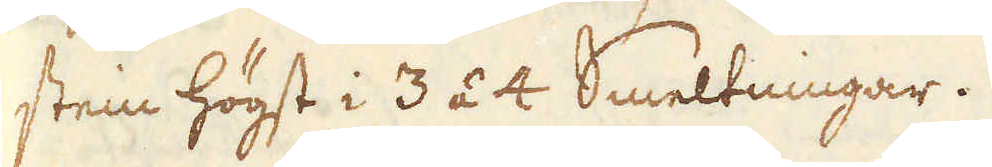stein högst i 3 á 4 Smeltningar.
